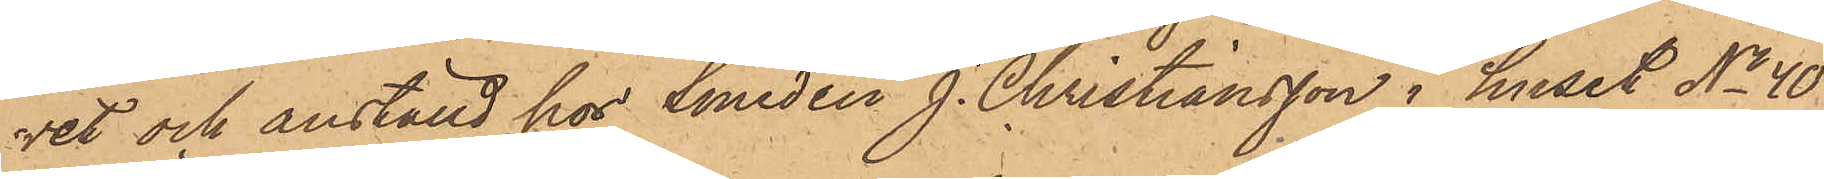vet och anställd hos Smeden J. Christiansson i huset No 40
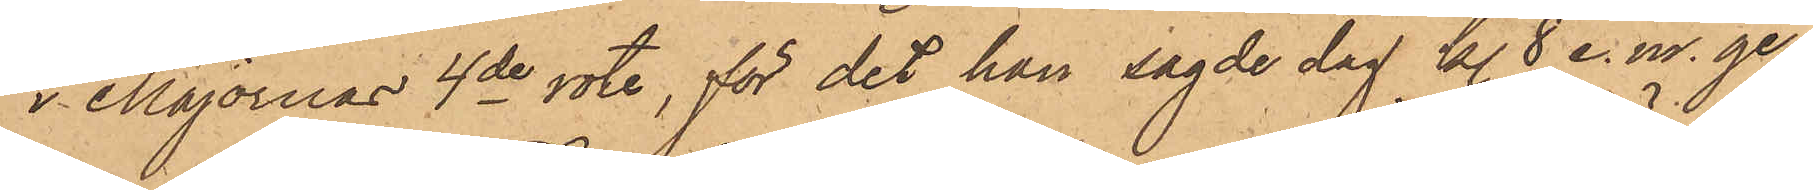i Majornas 4de rote, för det han sagde dag kl. 8 e.m. ge¬
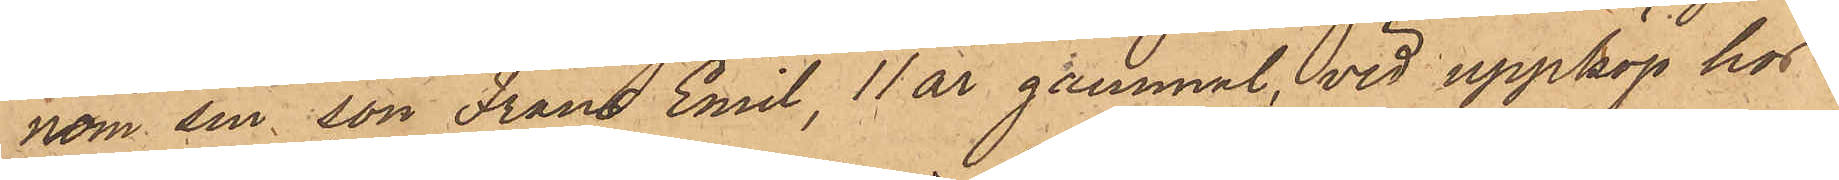nom sin son Frans Emil, 11 år gammal vid uppköp hos
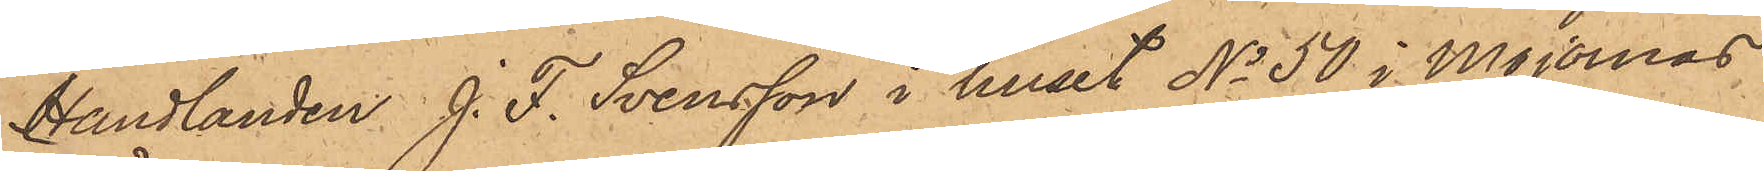Handlanden J. F. Svensson i huset No 50 i Majornas
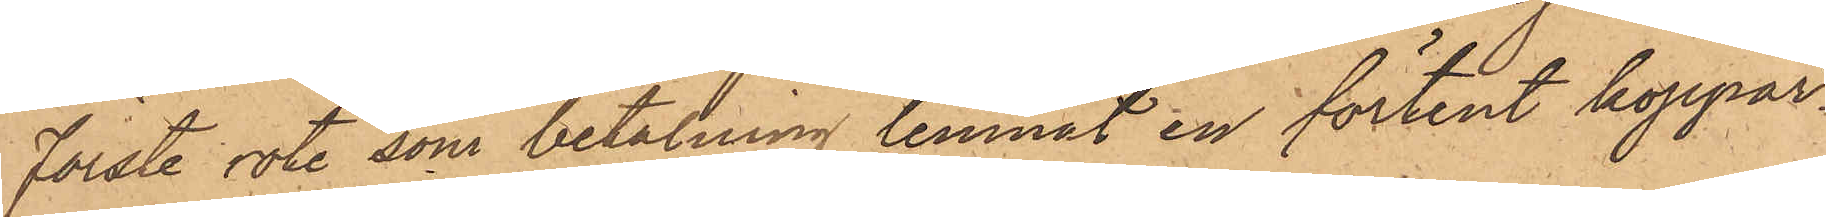Förste rote, som betalning lemnat en förtent koppar¬
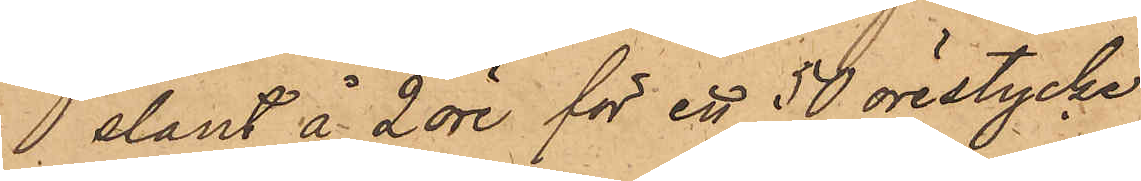slant å 2 öre för ett 50 örestycke
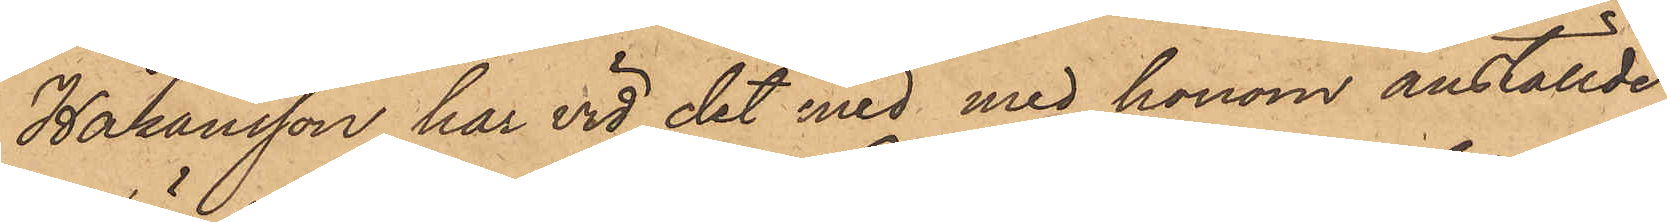Håkansson har vid det med med honom anställde
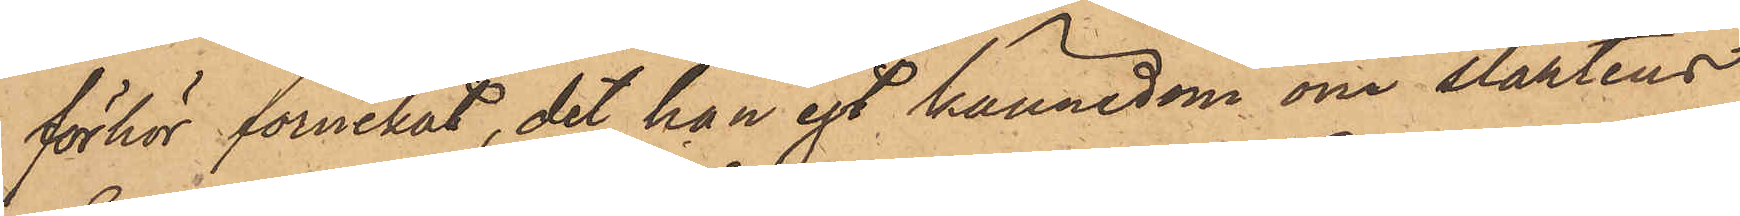förhör förnekat, det han egt kännedom om slantens
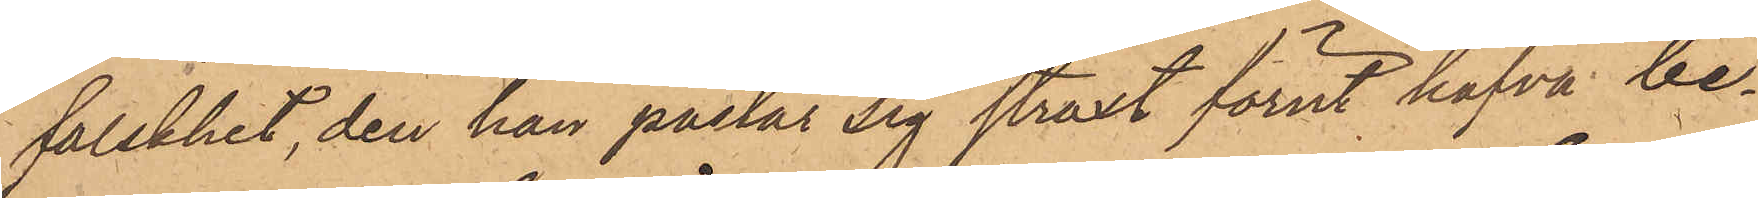falskhet, den han påstår sig straxt förut hafva be¬
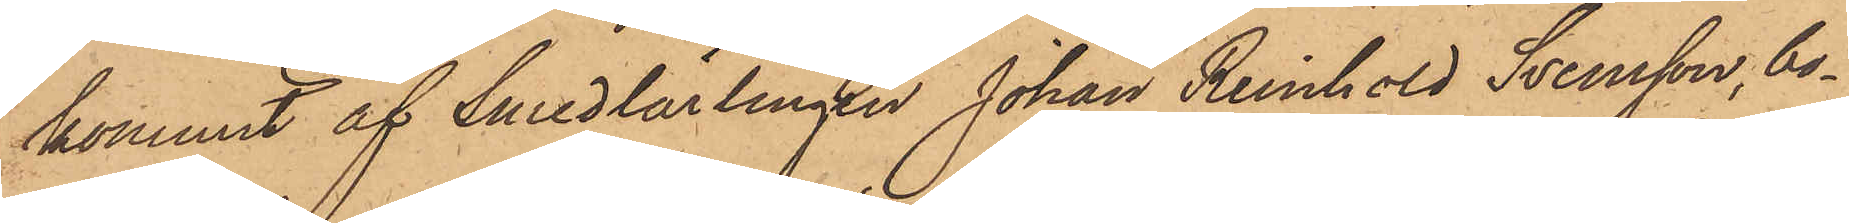kommit af Smedlärlingen Johan Reinhold Svensson, bo¬
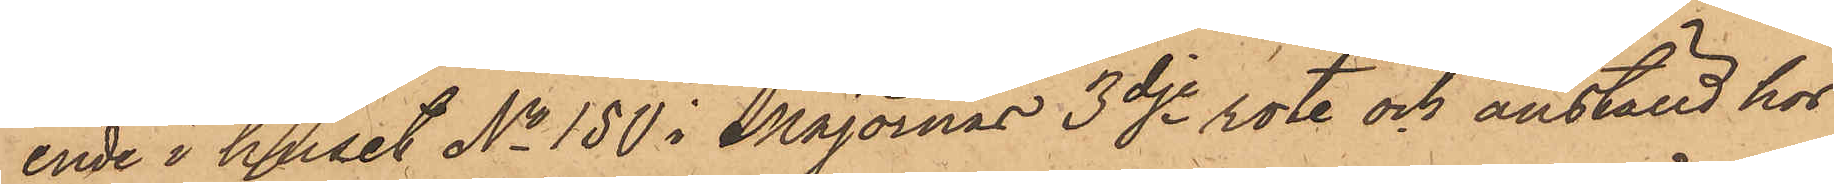ende i huset No 150 i Majornas 3dje rote och anställd hos
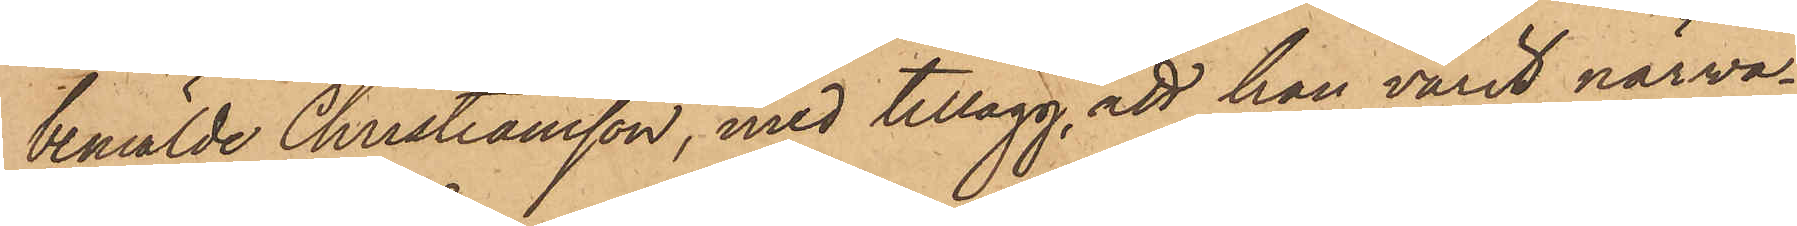bemälde Christiansson, med tillägg, att han varit närva¬
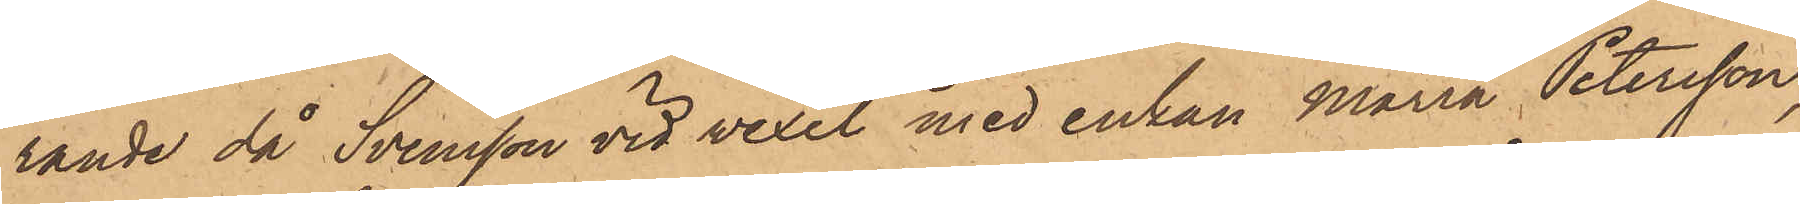rande då Svensson vid vexel med enkan Maria Petersson,
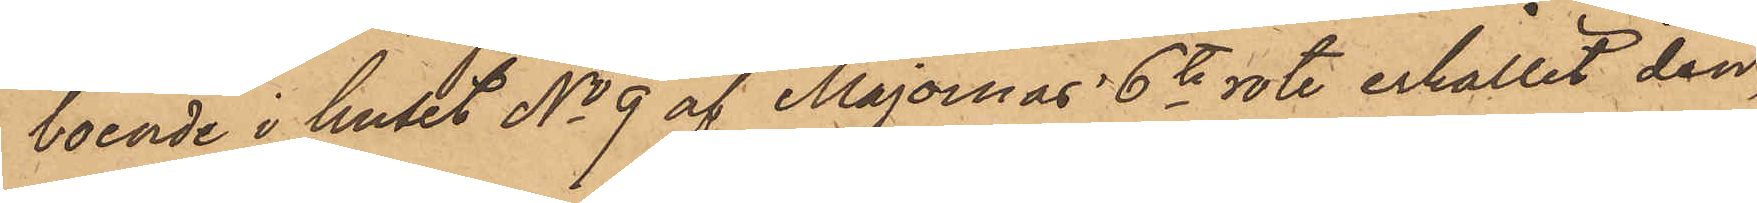boende i huset No 9 af Majornas 6te rote erhållit den
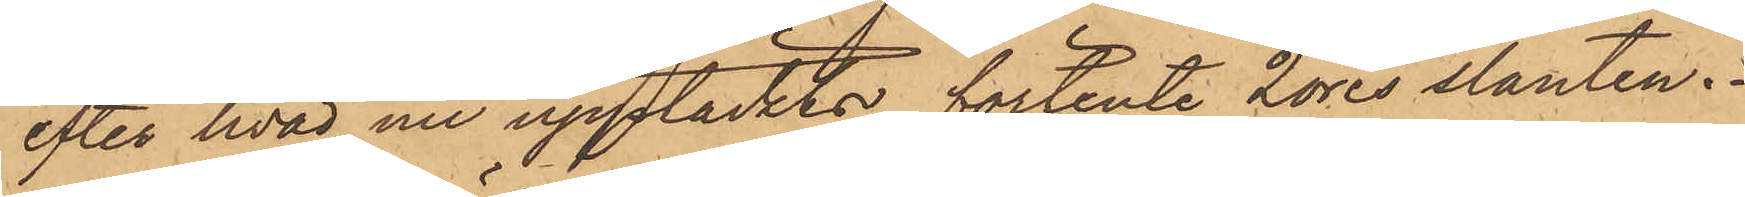efter hvad nu upptäcktes förtente 2 öres slanten.
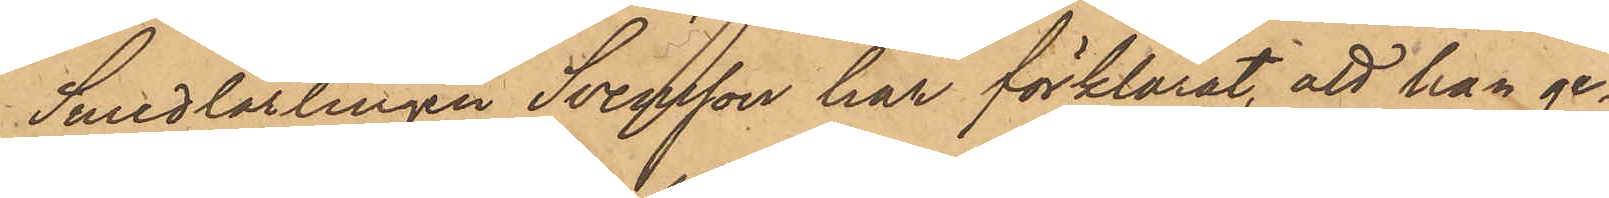Smedlärlingen Svensson har förklarat, att han ge¬
